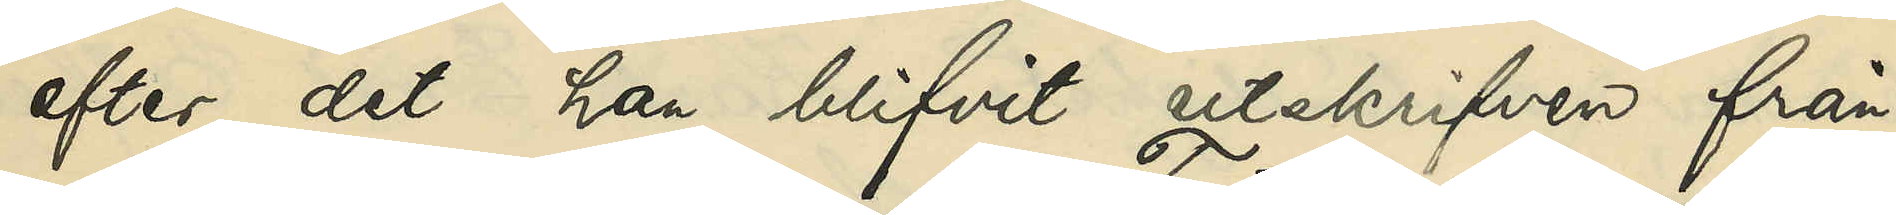efter det han blifvit utskrifven från
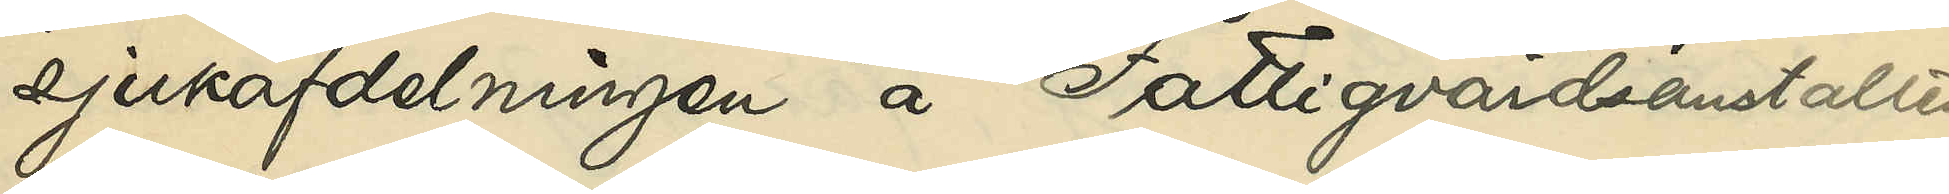sjukafdelningen å Fattigvårdsanstalten
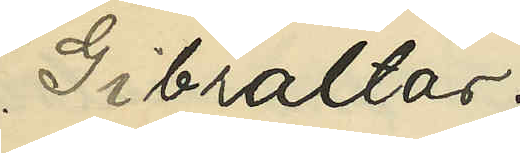Gibraltar.
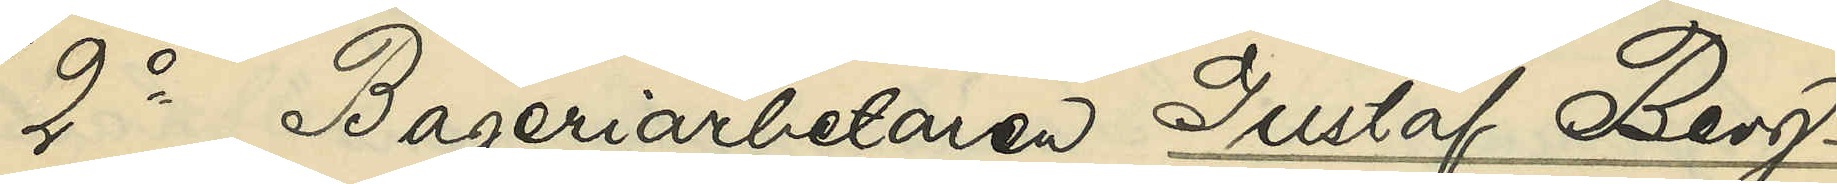2o Bageriarbetaren Gustaf Berg¬
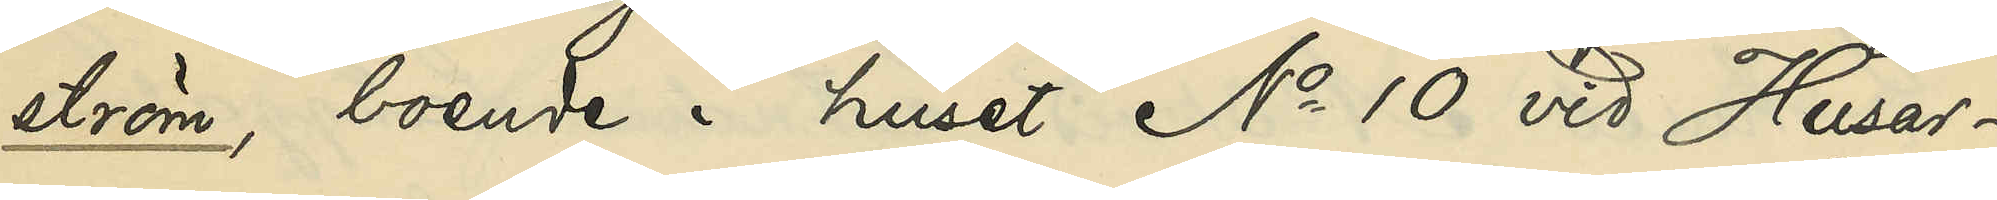ström, boende i huset No 10 vid Husar¬
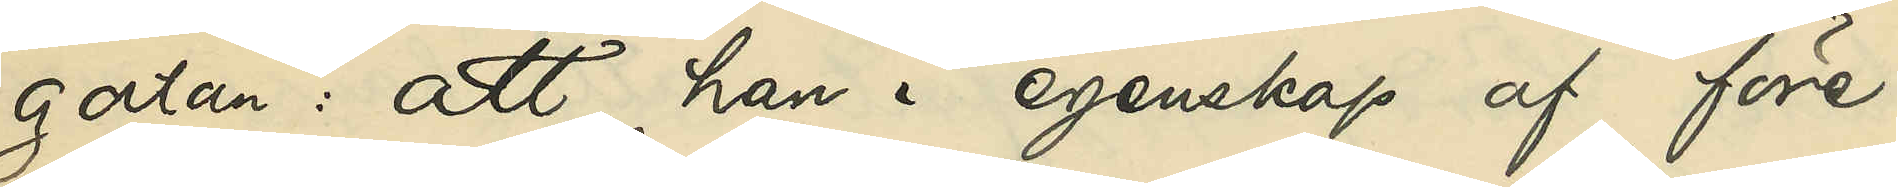gatan: att han i egenskap af före¬
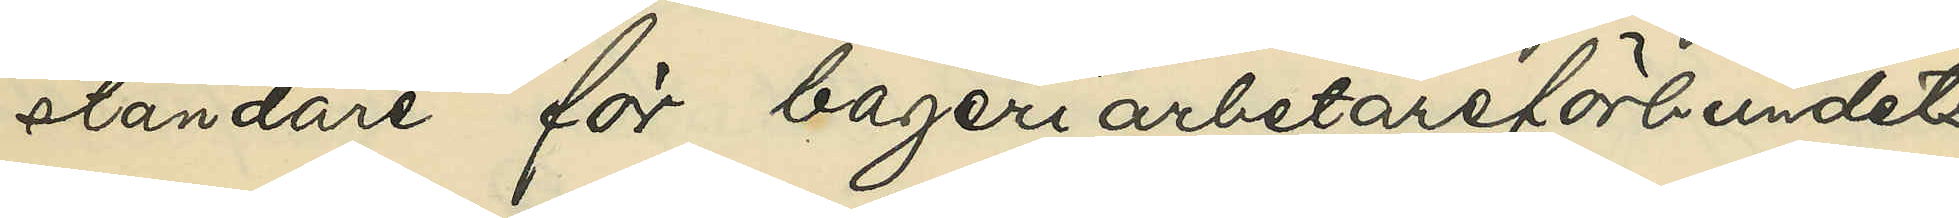ståndare för bageriarbetareförbundets
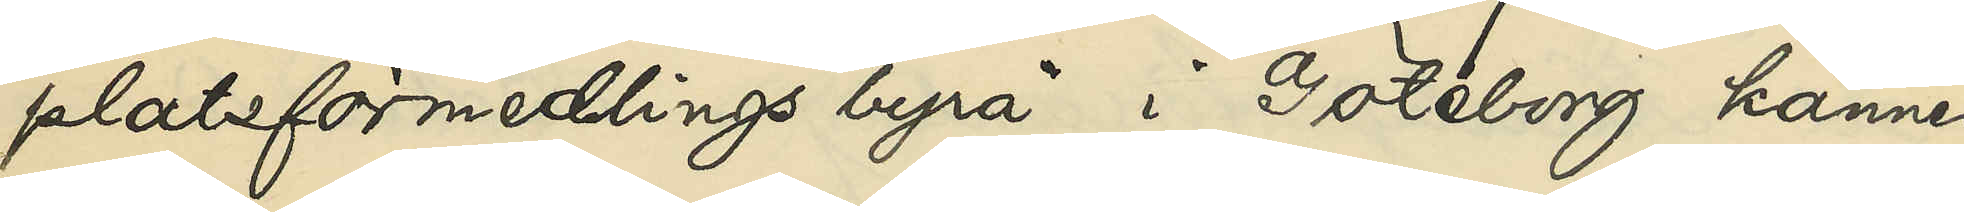platsförmedlings byrå i Göteborg känner
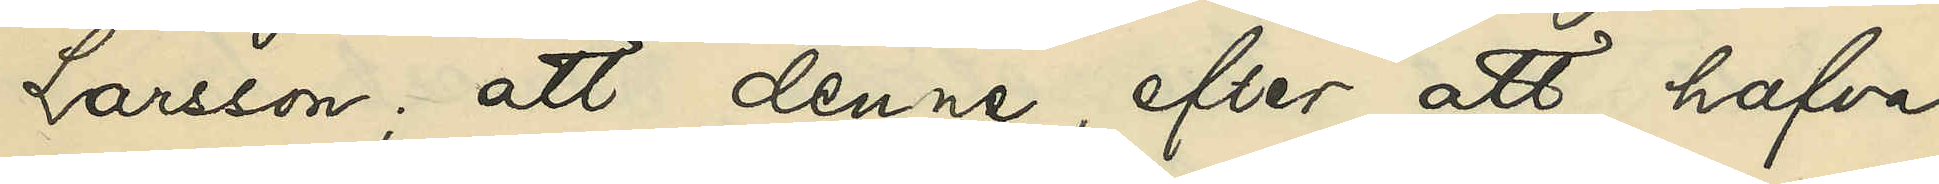Larsson; att denne efter att hafva
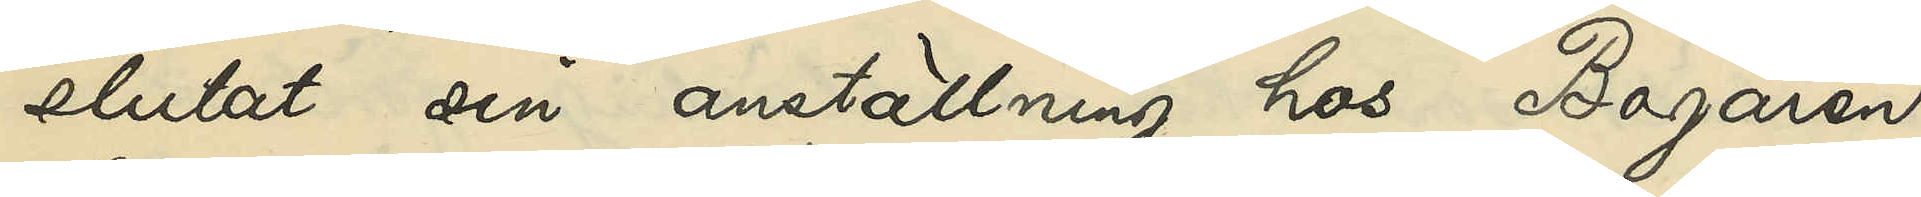slutat sin anställning hos Bagaren
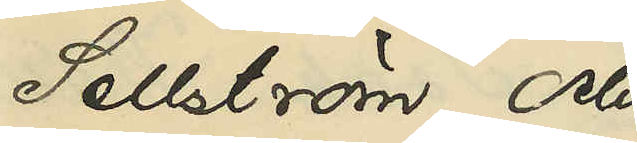Sellström och
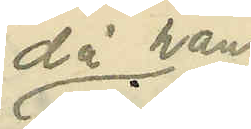då han
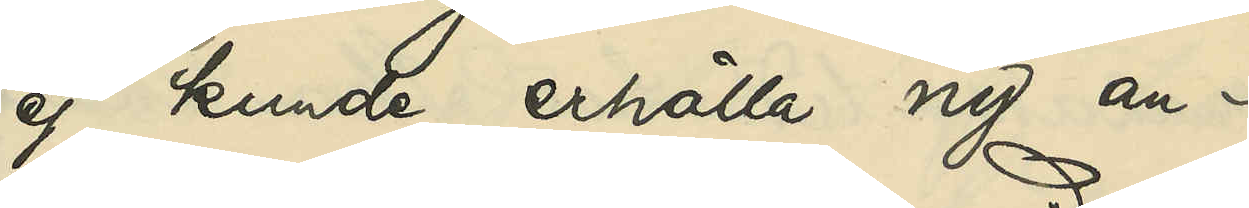ej kunde erhålla ny an¬
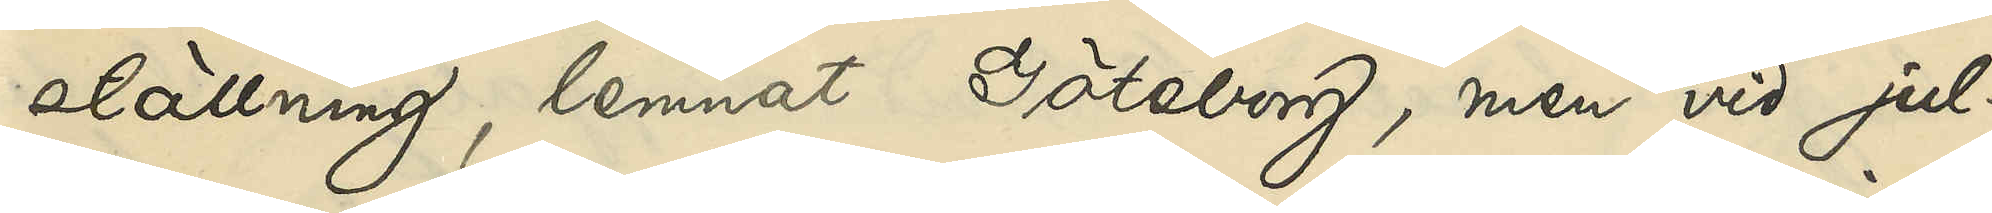ställning lemnat Göteborg, men vid jul¬
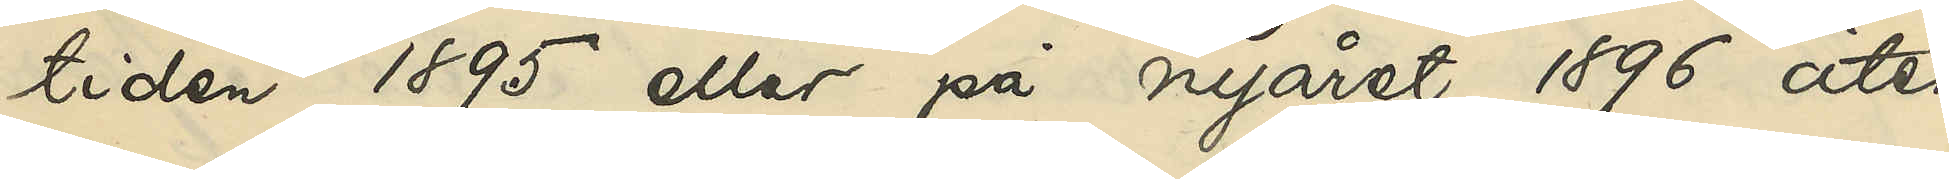tiden 1895 eller på nyåret 1896 åter
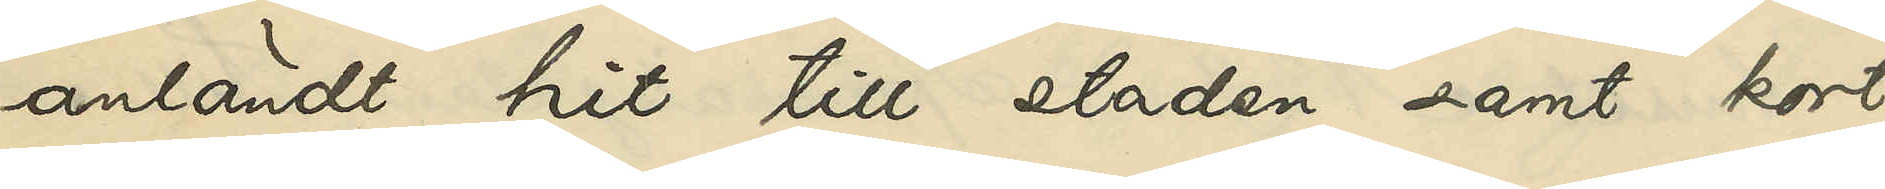anländt hit till staden samt kort
